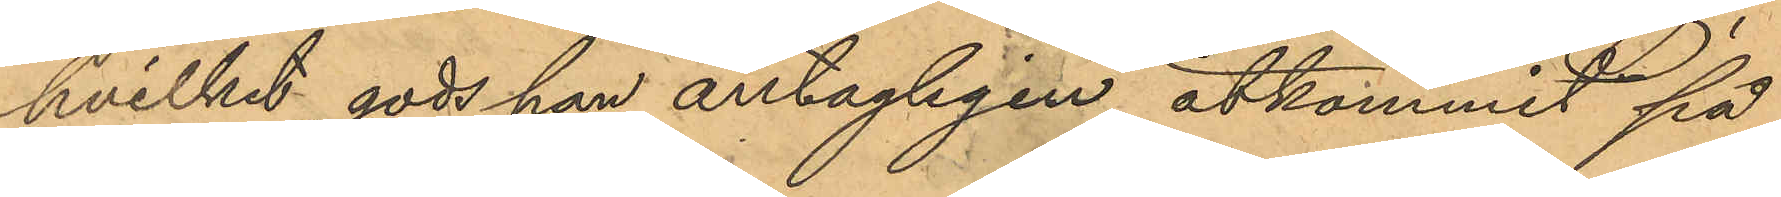hvilket gods han antagligen åtkommit på
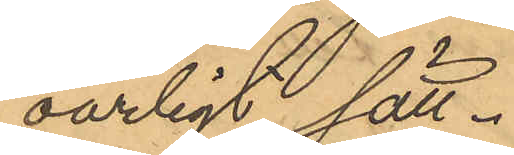oärligt sätt.
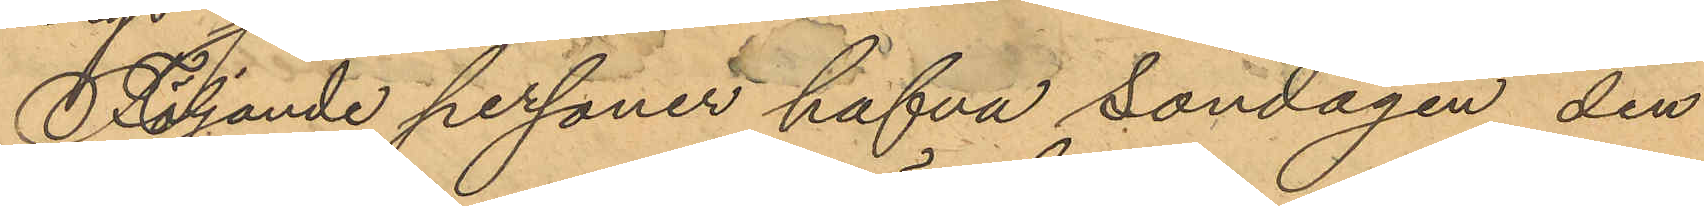Följande personer hafva Söndagen den
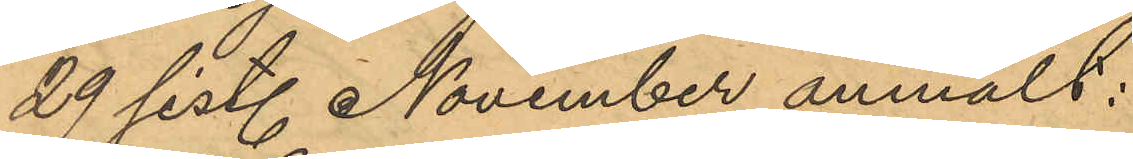29 sist. November anmält:
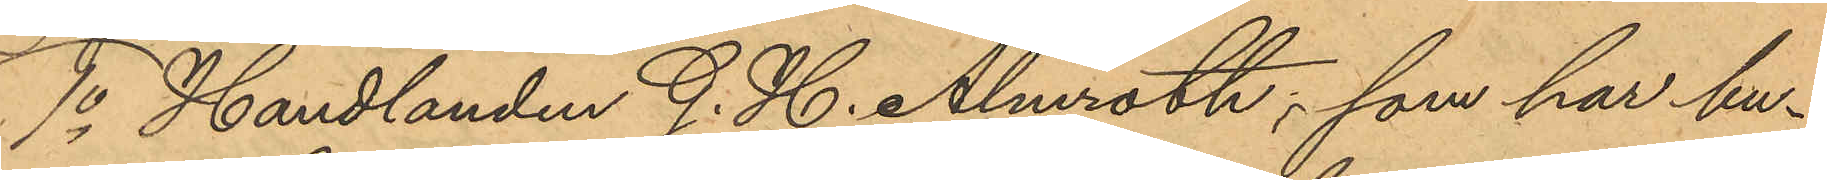1o Handlanden G. H. Almroth, som har bu¬
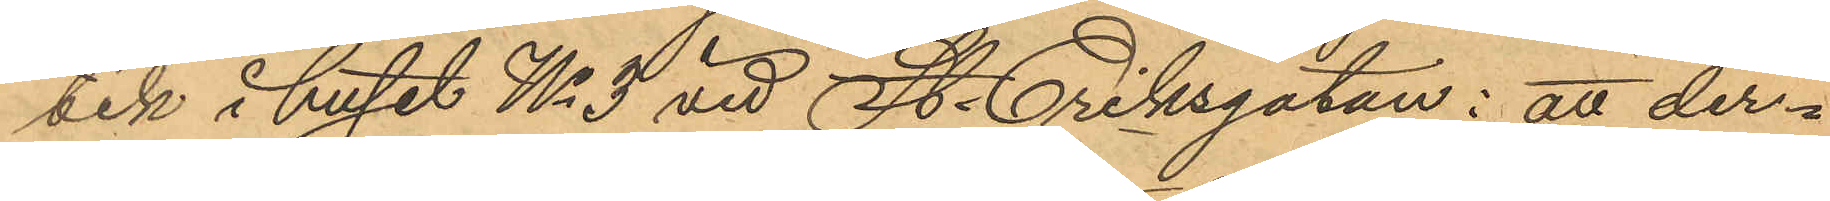tik i huset No 3 vid St. Eriksgatan: att der¬
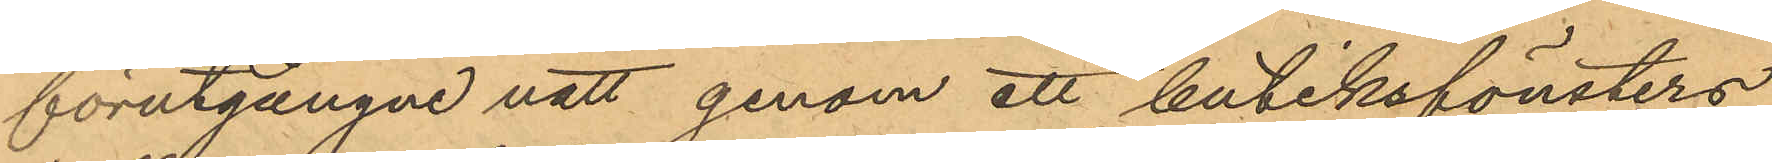förutgångne natt genom ett butiksfönsters
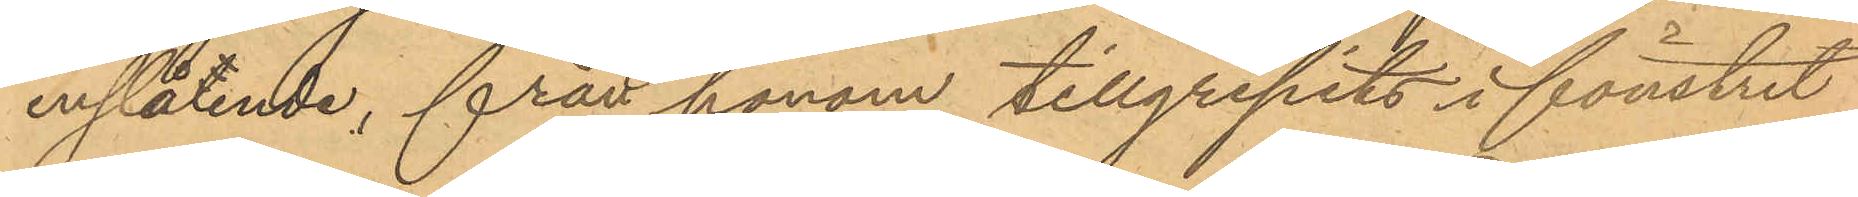inslående, från honom tillgripits i fönstret
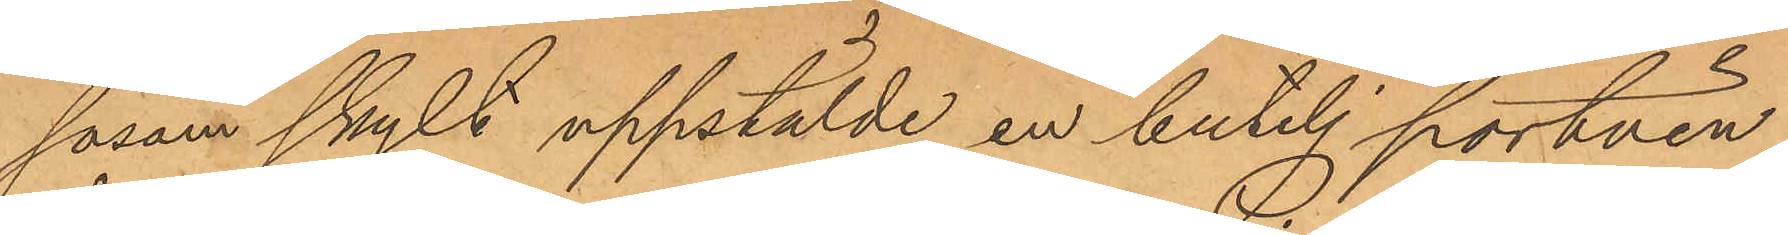såsom skylt uppstälde en butelj portvin,
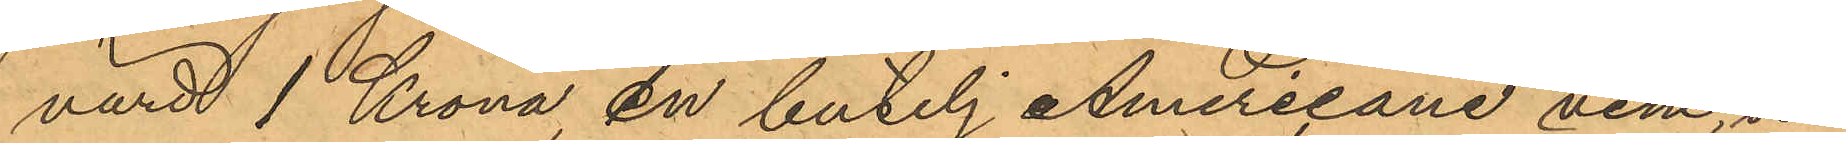värd 1 Krona, en butelj Americane vine, värd
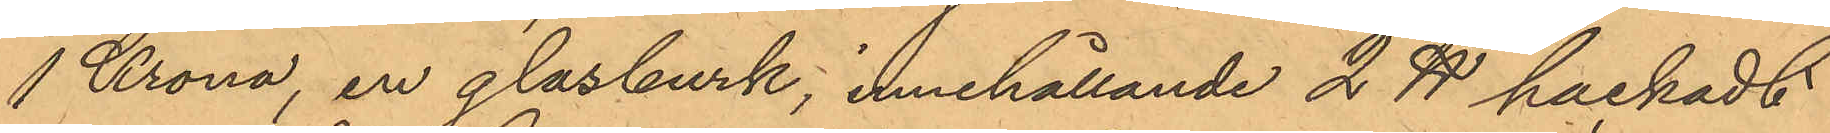1 Krona, en glasburk; innehållande 2 ℔ packadt
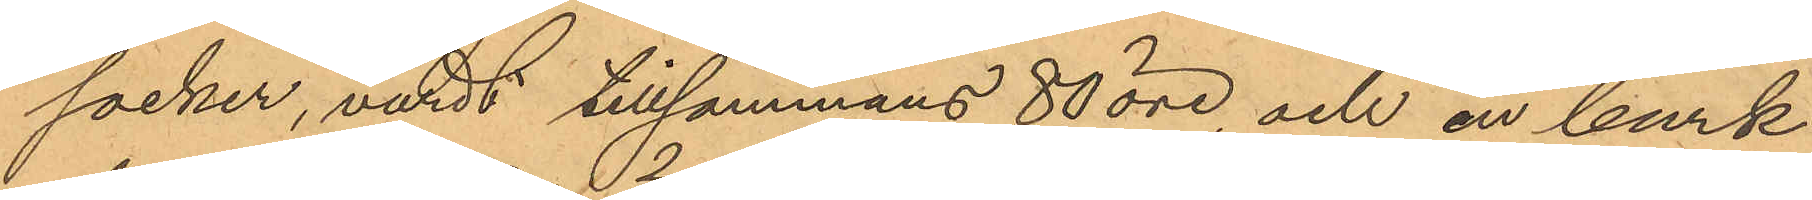socker, värdt tillsammans 80 öre, och en burk
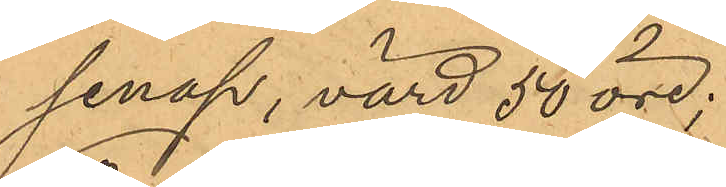senap, värd 50 öre;
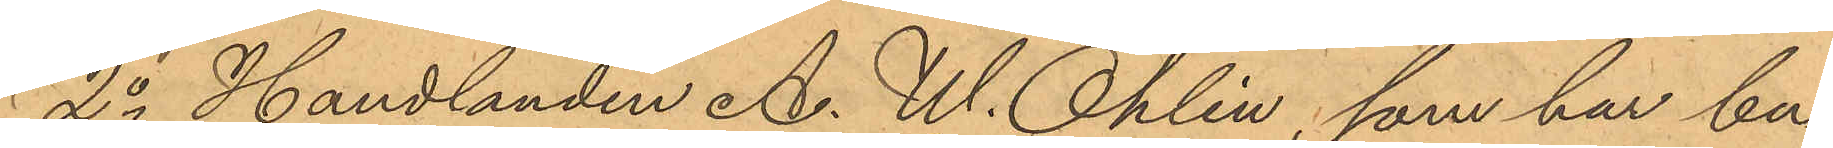2o Handlanden A. W. Ohlin, som har bu¬
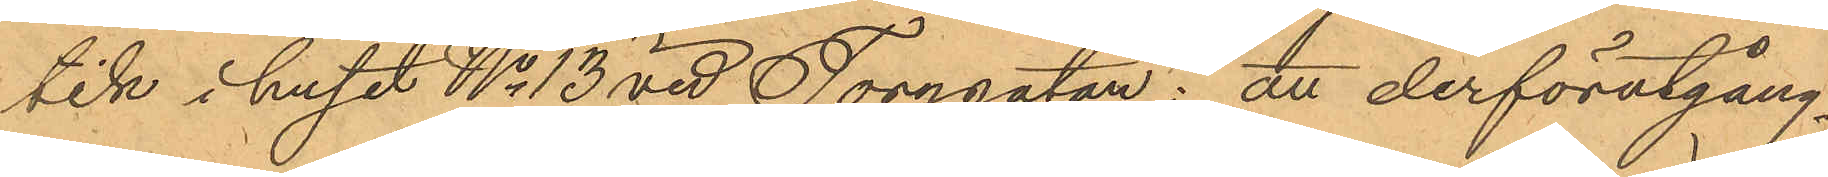tik i huset No 13 vid Torggatan: att derförutgång¬
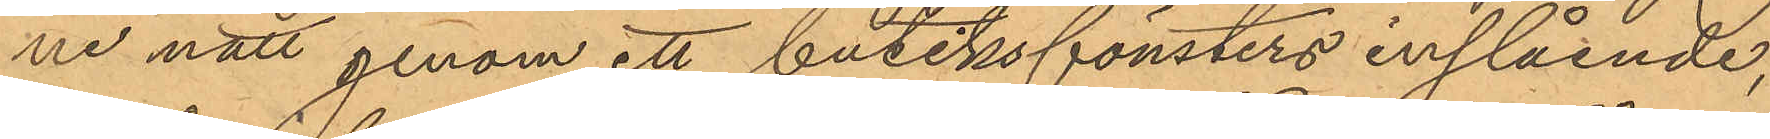ne natt genom ett butiksfönsters inslående,
